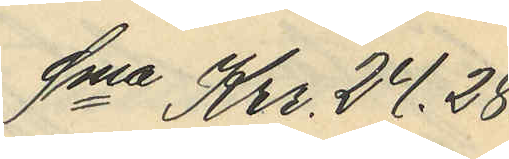Sma Kr. 24,28.
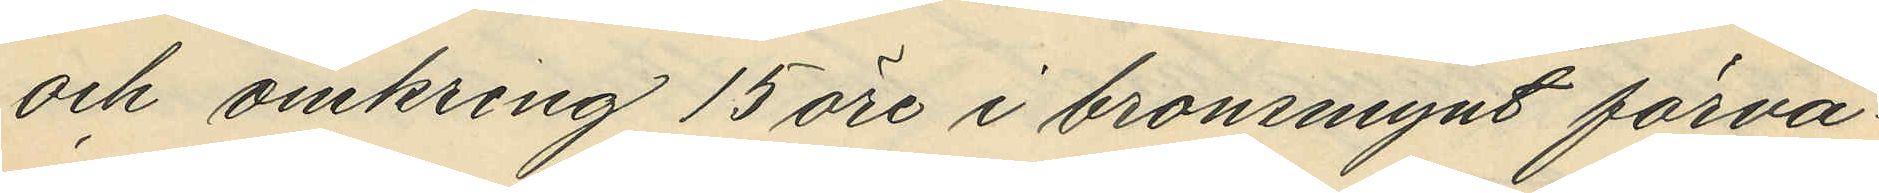och omkring 15 öre i bronsmynt förva¬
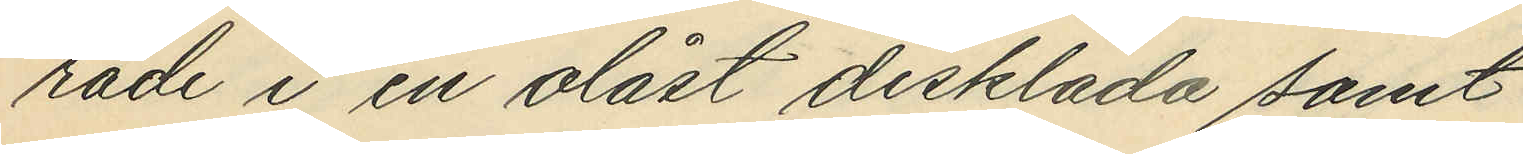rade i en olåst disklåda samt
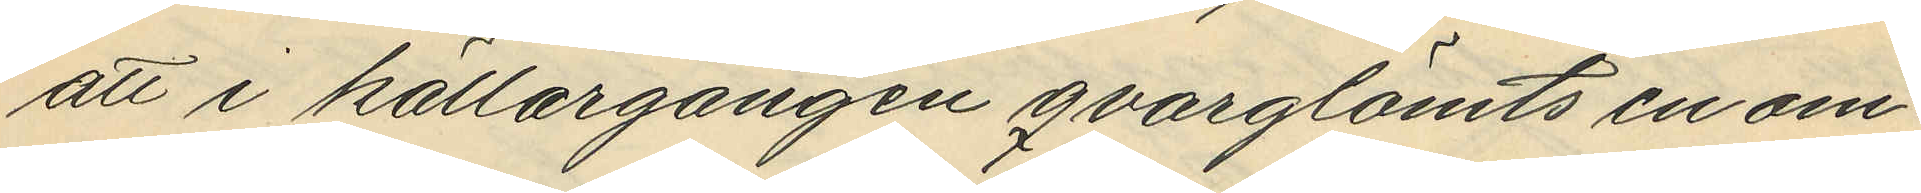att i källargången qvarglömts en om¬
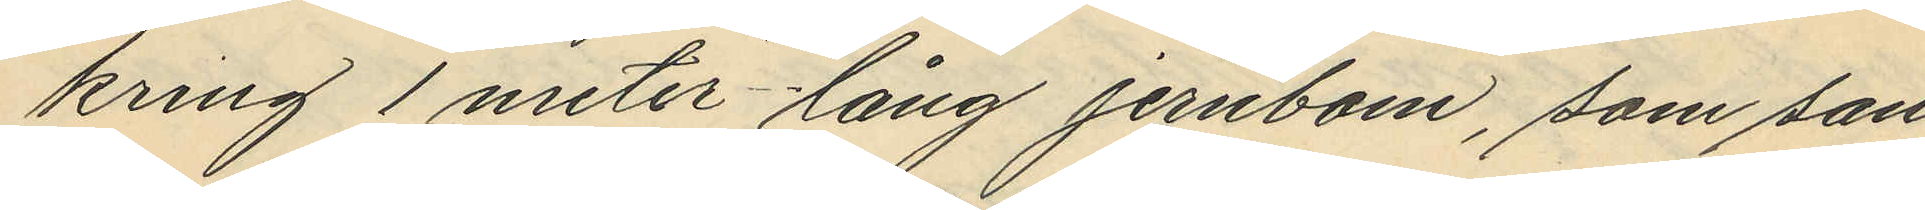kring 1 meter lång jernbom, som san¬
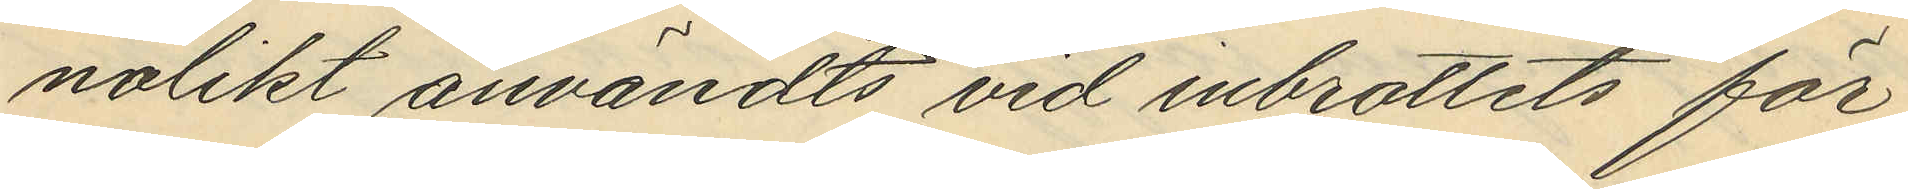nolikt användts vid inbrottets för¬
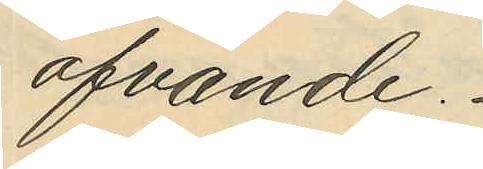ofvande.
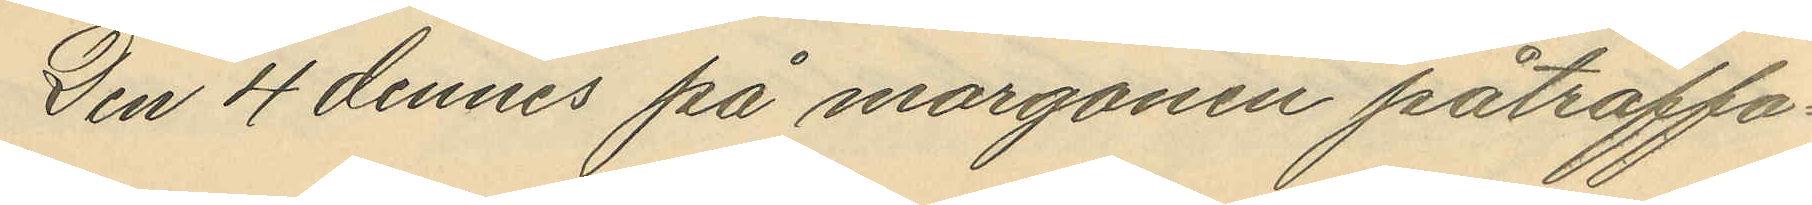Den 4 dennes på morgonen påträffa¬
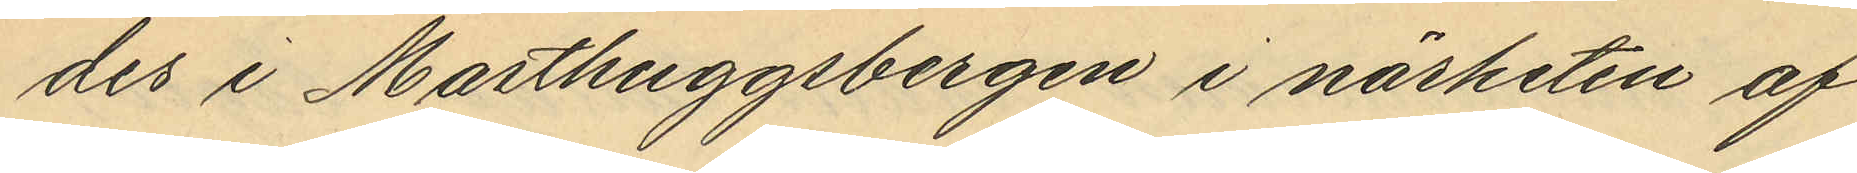des i Masthuggsbergen i närheten af
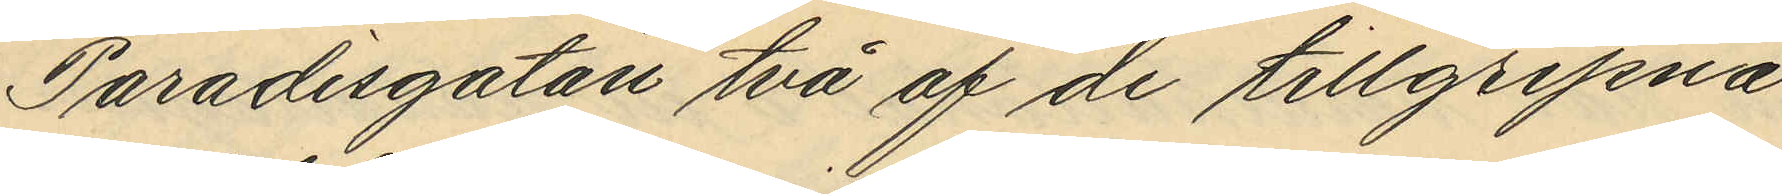Paradisgatan två af de tillgripna
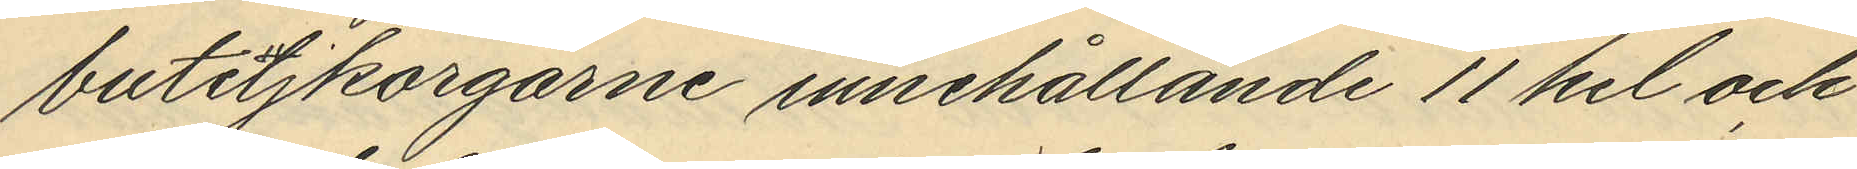buteljkorgarne innehållande 11 hel och
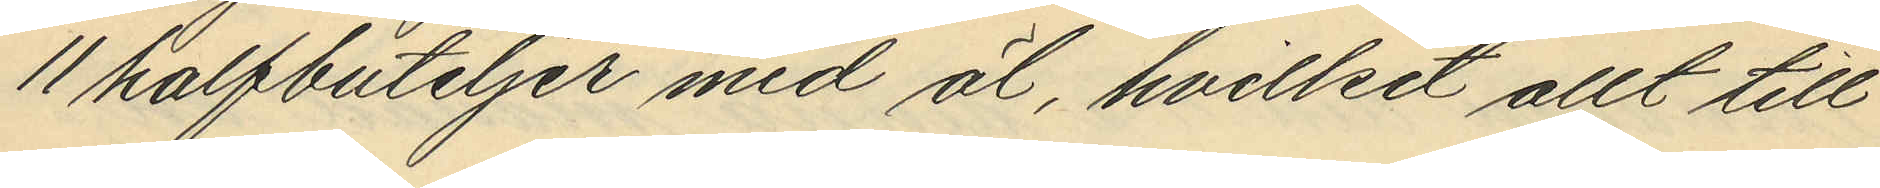11 halfbuteljer med öl, hvilket allt till¬
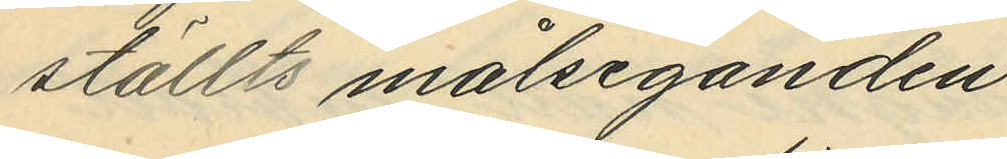ställts målseganden.
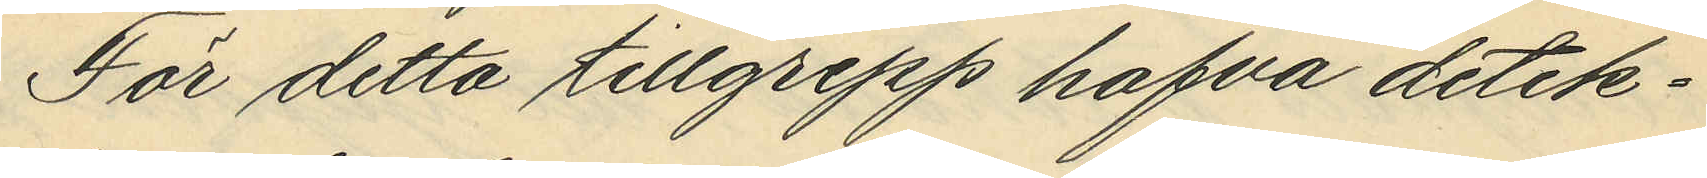För detta tillgrepp hafva detek¬
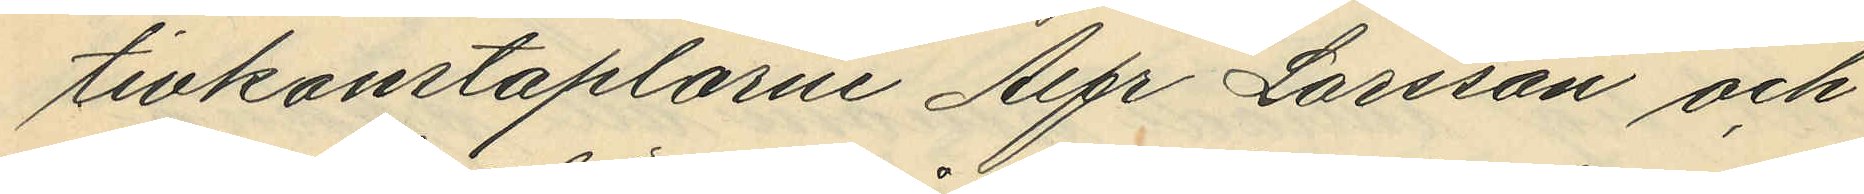tivkonstaplarne Alfr Larsson och
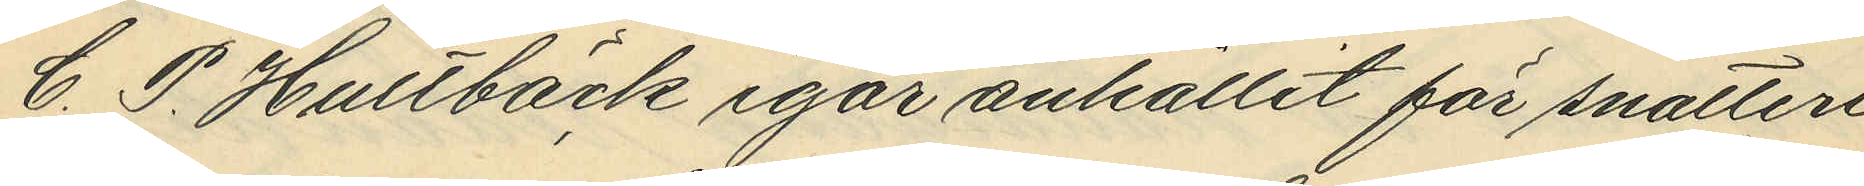C. P. Hultbäck igår anhållit för snatteri
